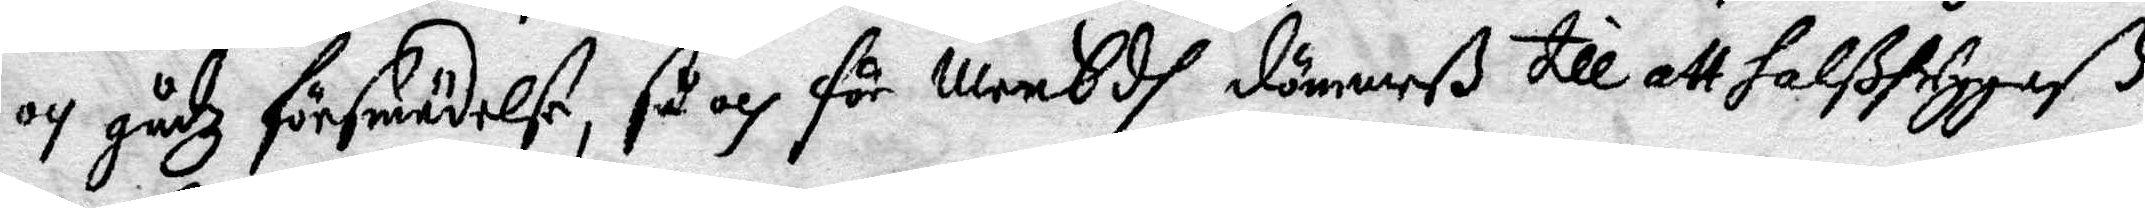och Gudz försmädelse, så och för menEdh dömmeß till att halßhuggaß
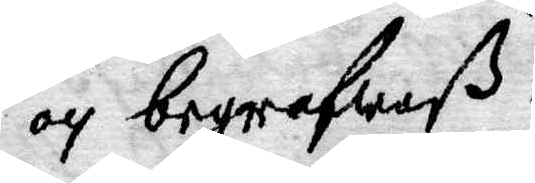och begrafwaß.
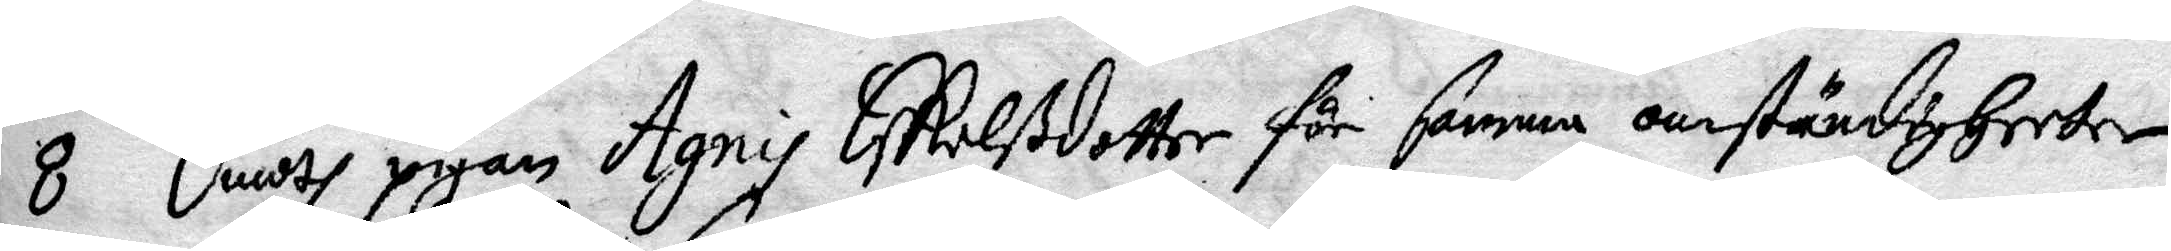8 Emodh pigan Agnis Eskilßdotter för samma omständigheeter
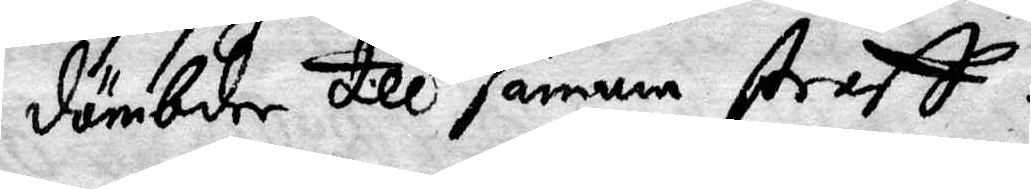dömbde till samma straff.
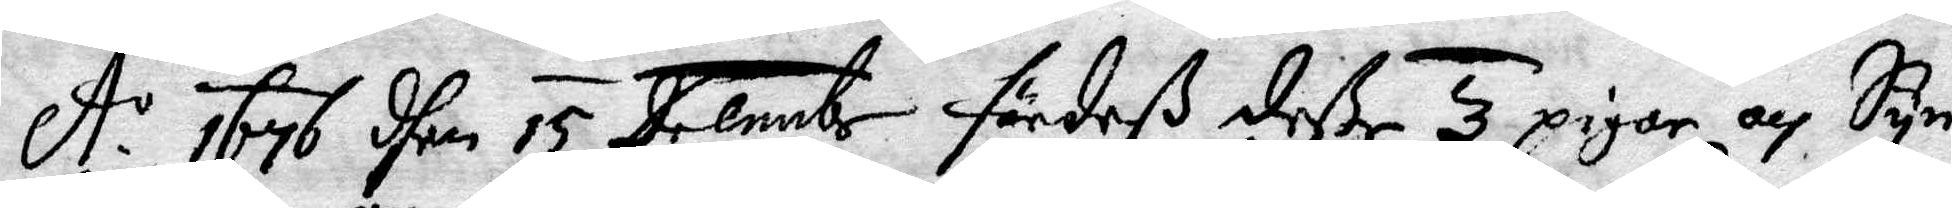A.o 1767 dhen 15 Decembr fördeß deße 3 pigor och Syn¬
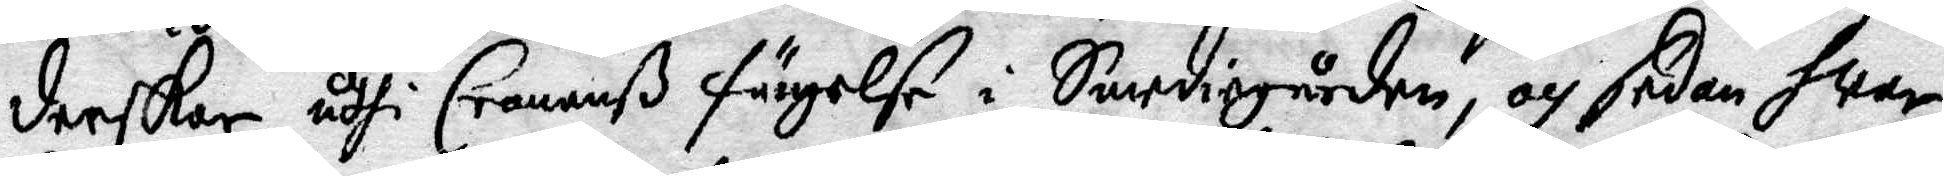derskor uthi Cronanß fängelse i Smediegården, och sedan hwar
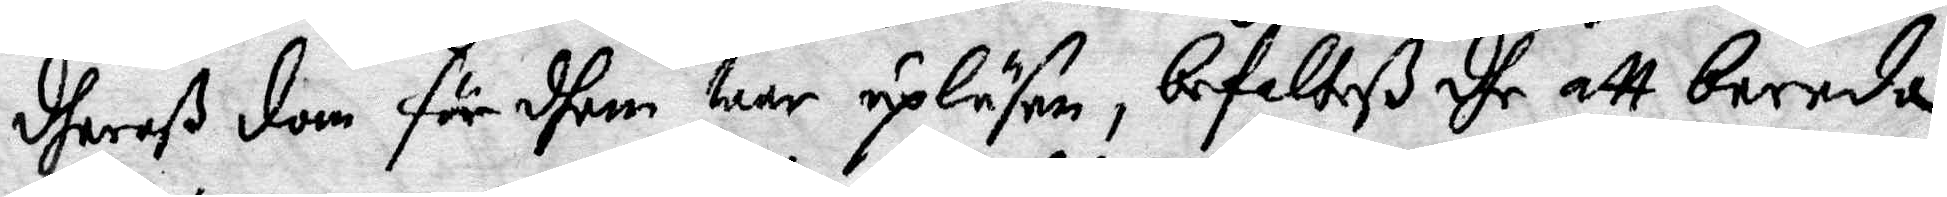dheraß dom för dhem war upläsen, befallteß dhe att bereda
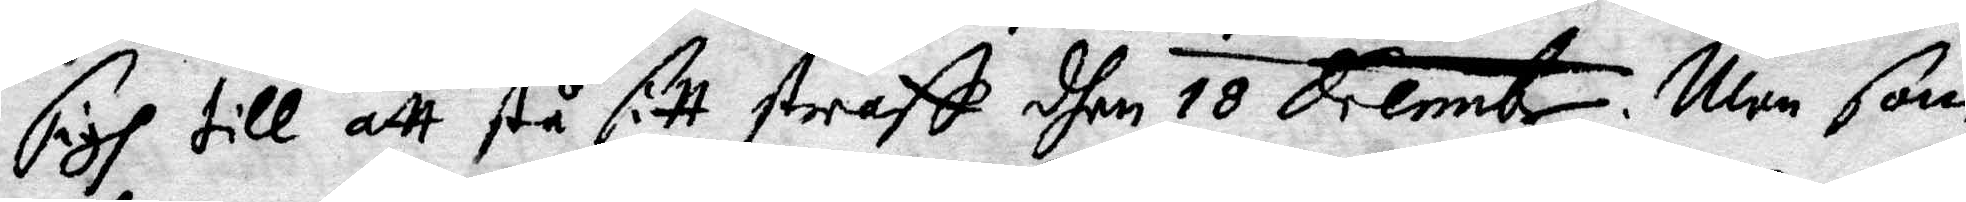sigh till att stå sitt straff dhen 18 Decembr. Men som
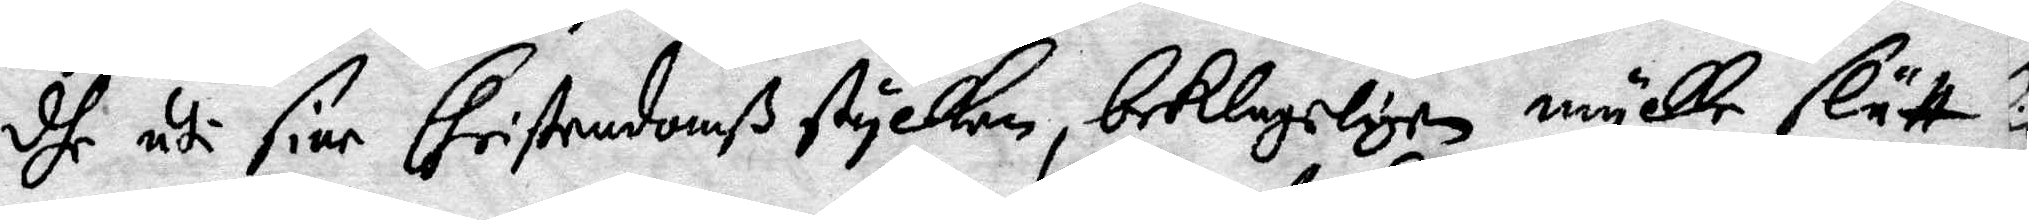dhe uti sine Christendomß stycken, beklageligen mykke slätt
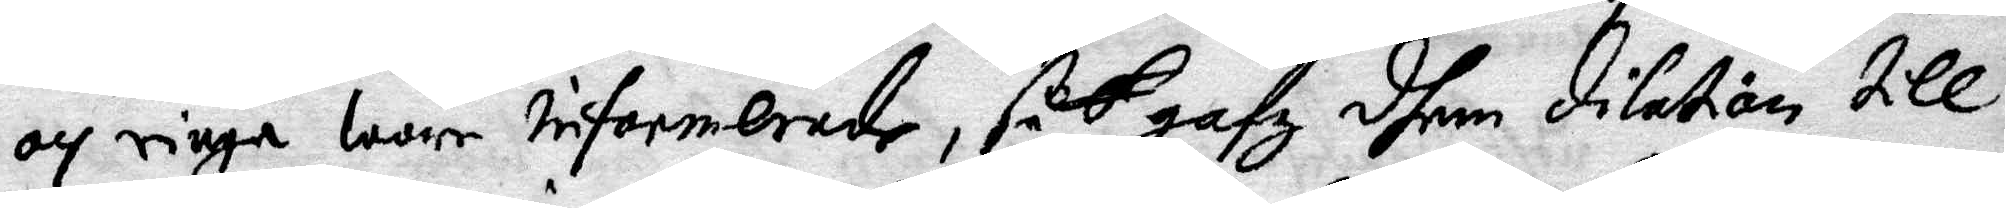och ringa war informerade, så gafz dhem dilation till
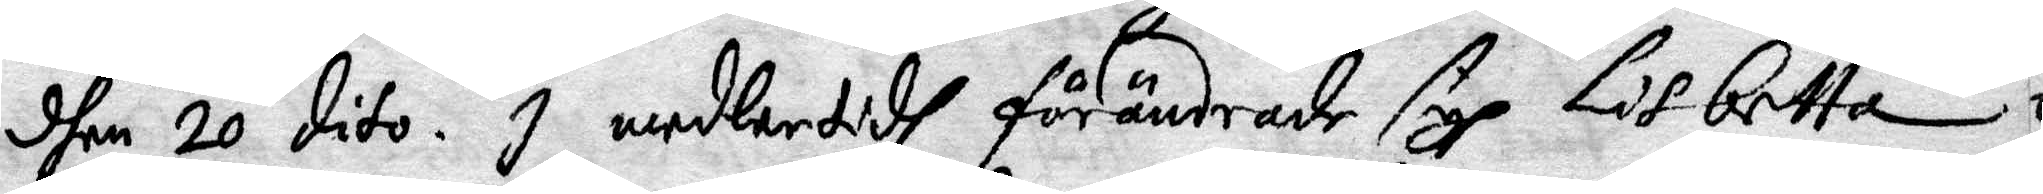dhen 20 dito. I medlertidh förändrade sigh Lisbetta
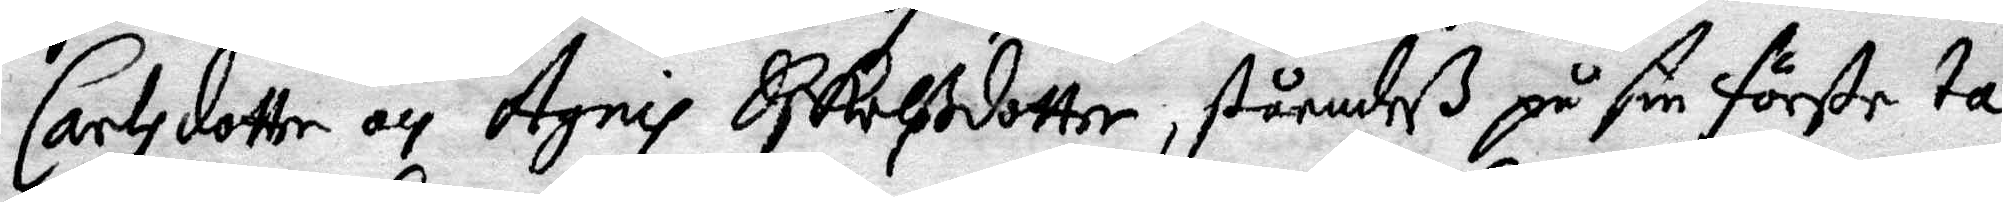Carlsdotter och Agni Eskilßdotter, ståendeß på sin första ta¬
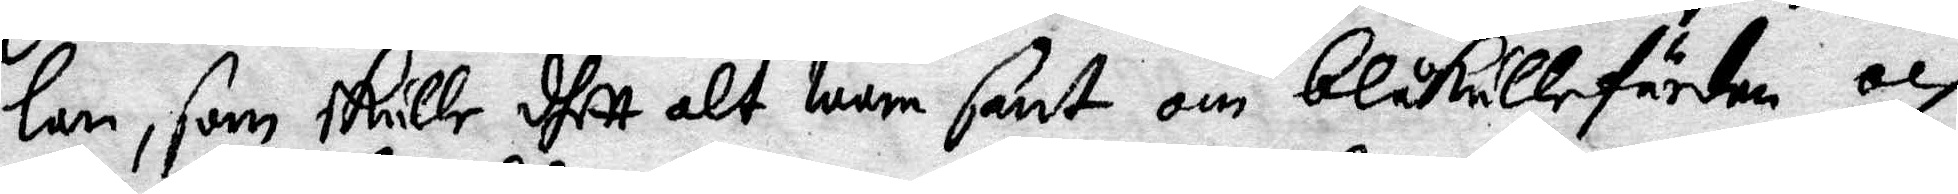lan, som skulle dhett alt wara sant om blåkullefärden och
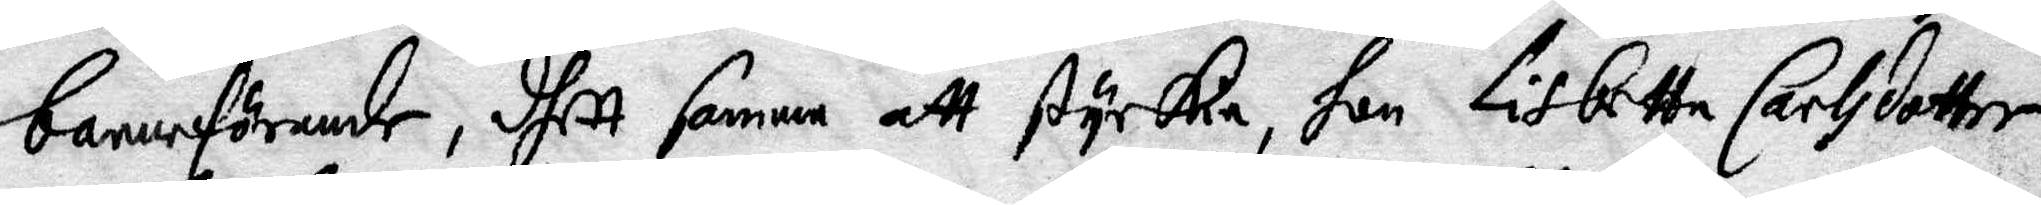barnaförande, dhett samma att styrka, hon Lisbetta Carlsdotter
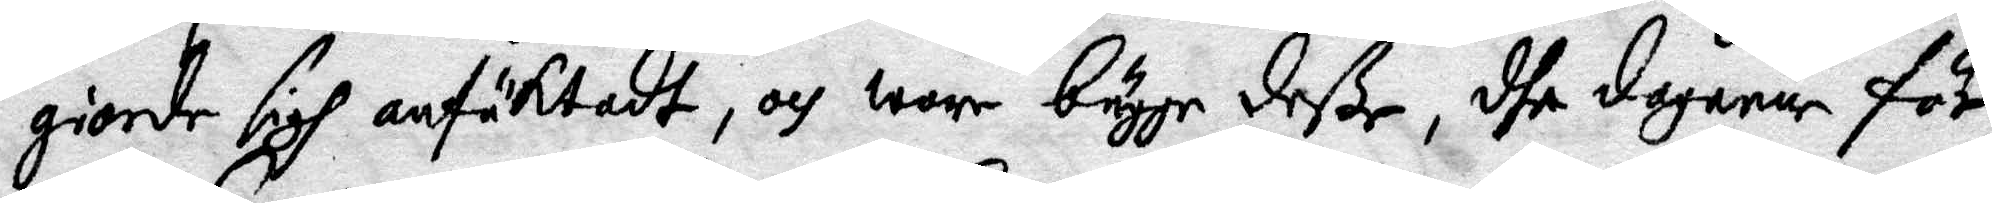giorde sigh anfäktadt, och ware bägge deße, dhe dagarne för
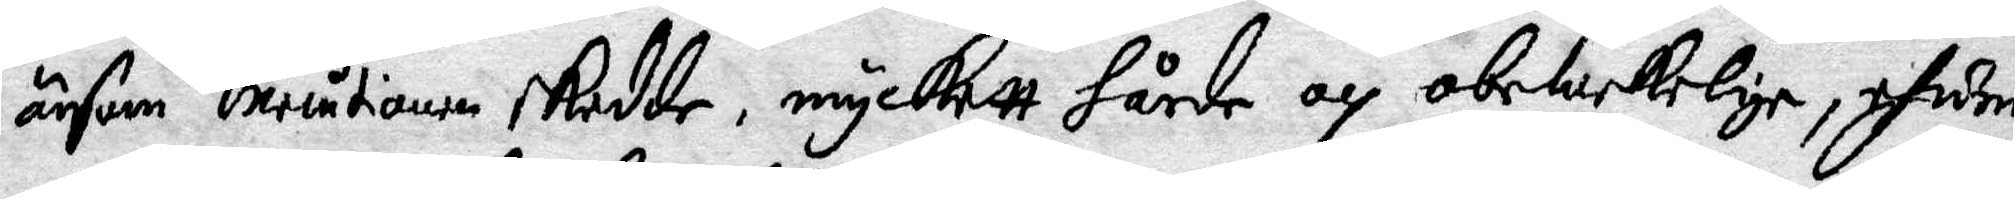änsom Executionen skedde, myckett hårde och obewekelige, efwen
